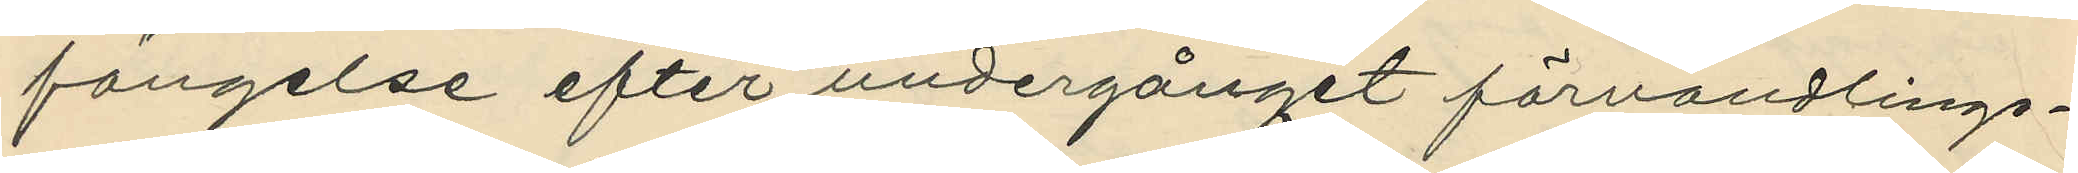fängelse efter undergånget förvandlings¬
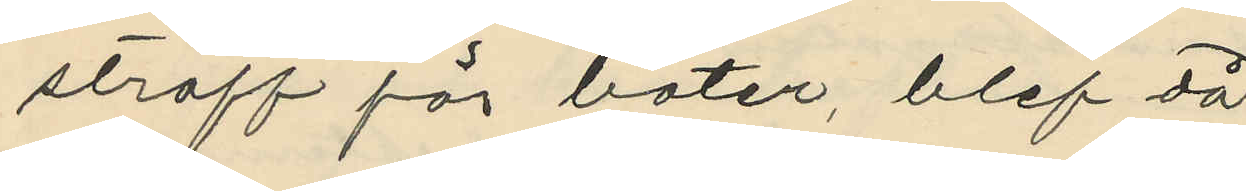straff för böter, blef då
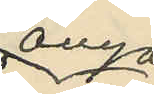ånyo
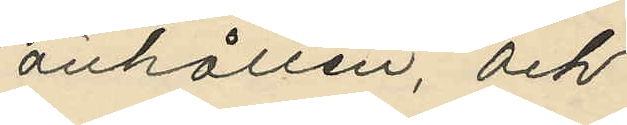anhållen, och
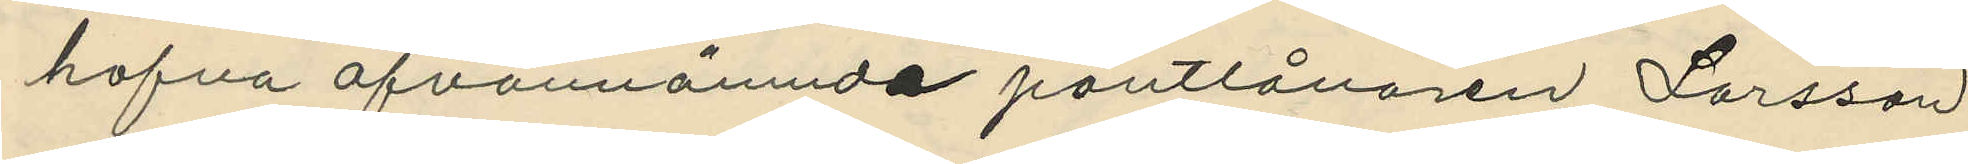hafva ofvannämnde pantlånaren Larsson
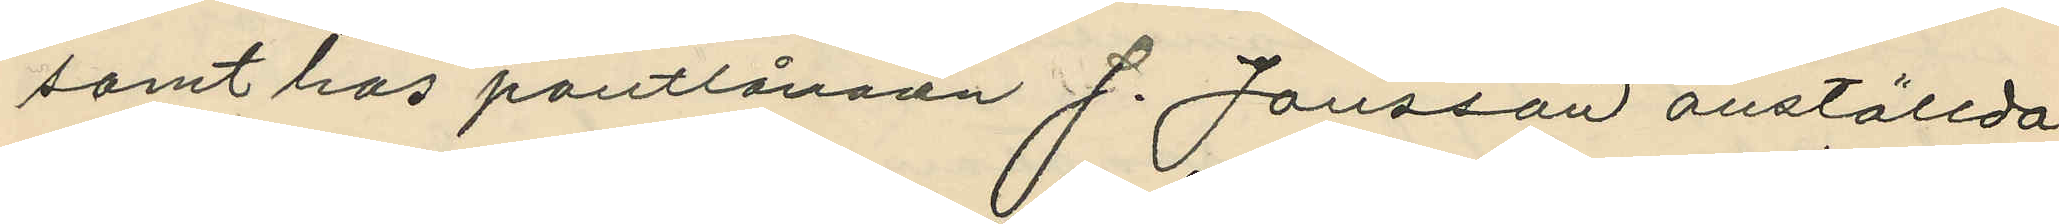samt hos pantlånaren J. Jansson anställda
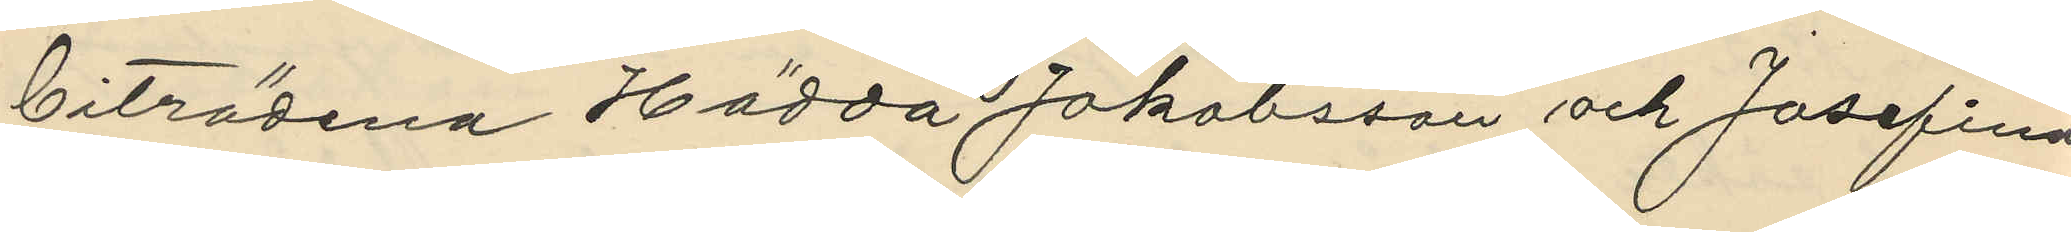biträdena Hädda Jakobsson och Josefina
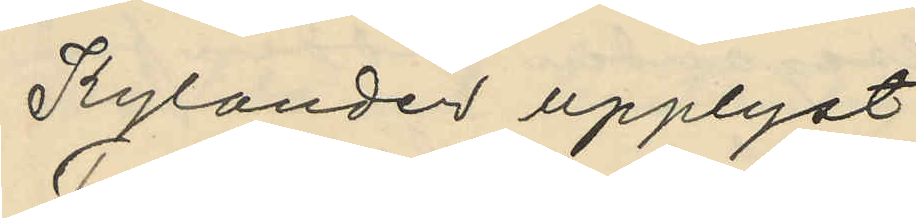Kylander upplyst:
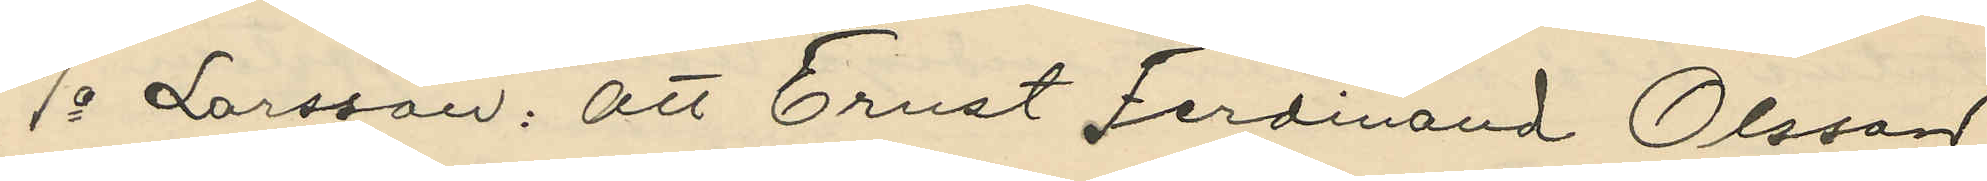1o Larsson: att Ernst Ferdinand Olsson
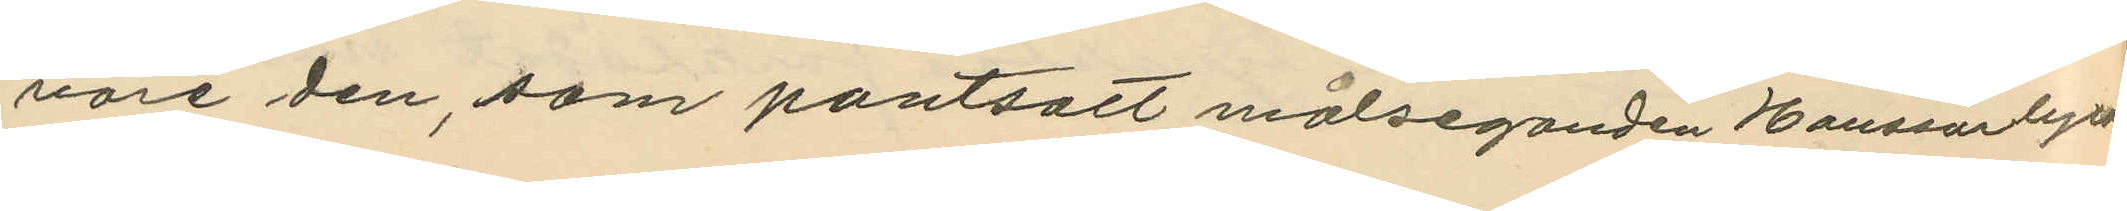vore den, som pantsatt målseganden Hanssor byxor
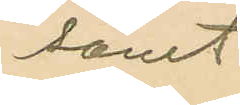samt
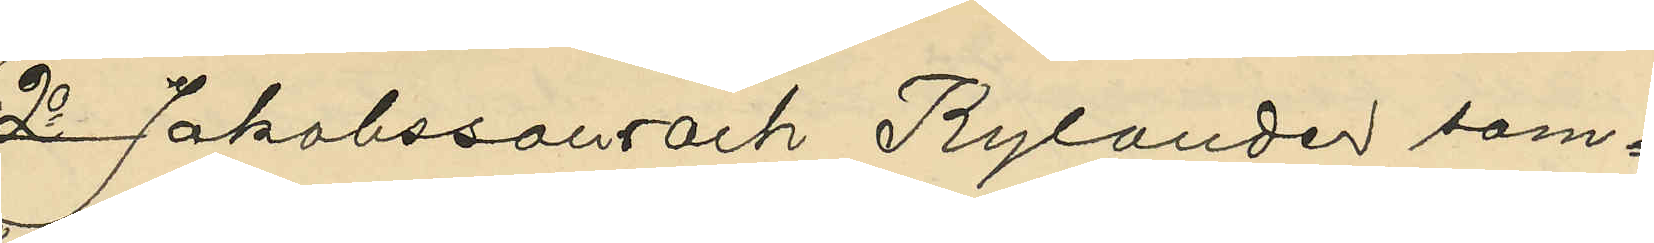2o Jakobssons och Rylander sam¬
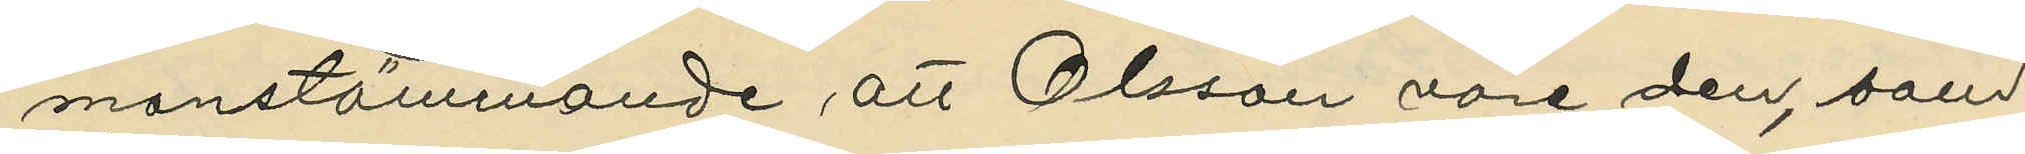manstämmande att Olsson vore den, som
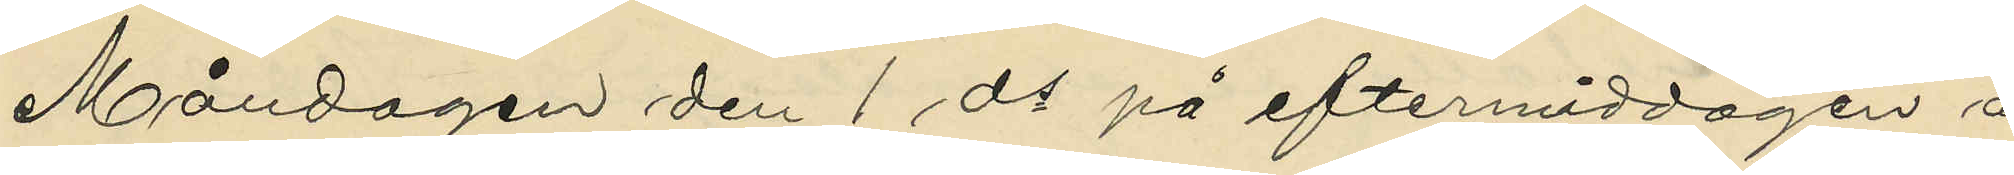Måndagen den 1 ds på eftermiddagen å
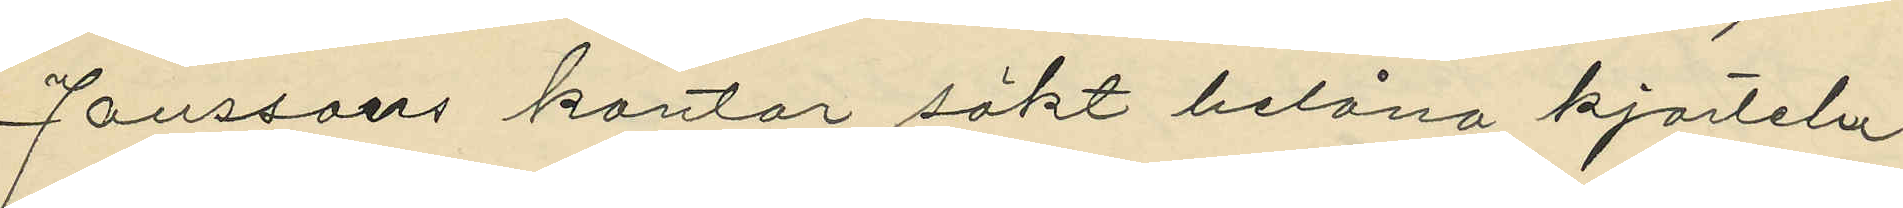Janssons kontor sökt belåna kjorteln
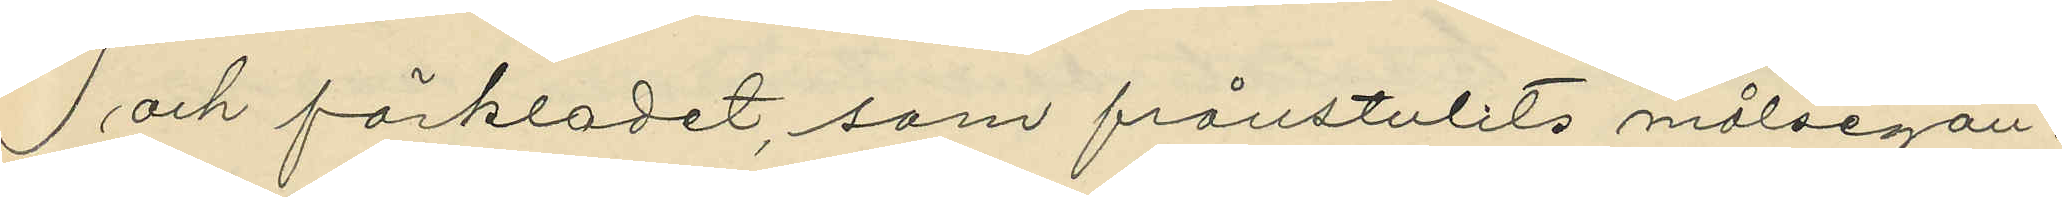och förkladet, som frånstulits målsegan¬
